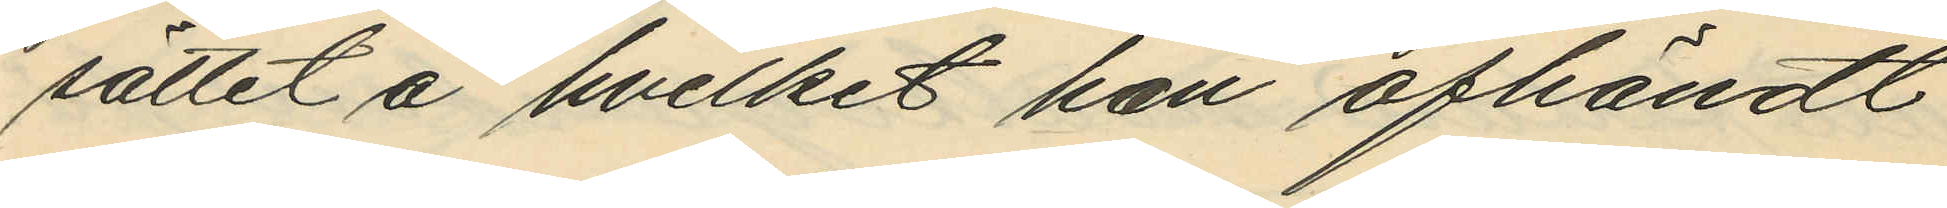sättet å hvilket han afhändt
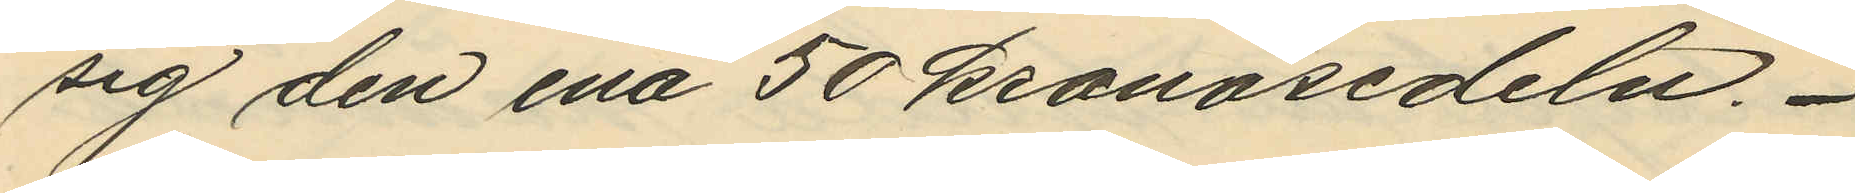sig den ena 50 kronosedeln.
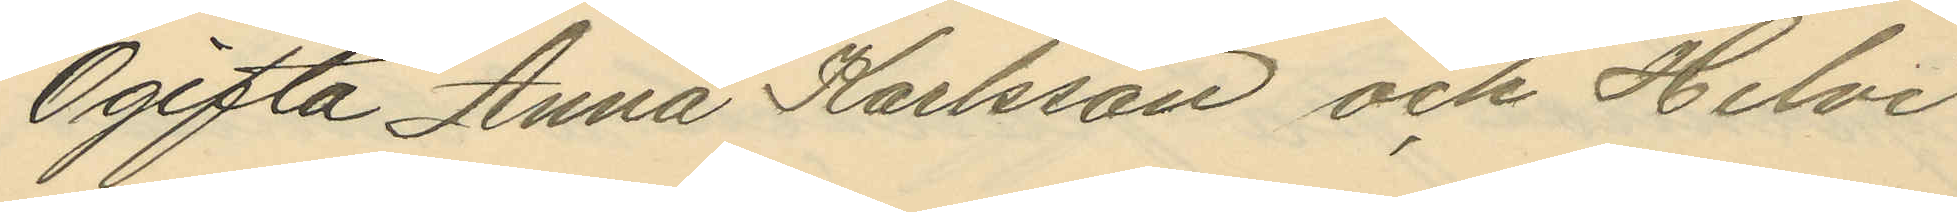Ogifta Anna Karlsson och Helvi
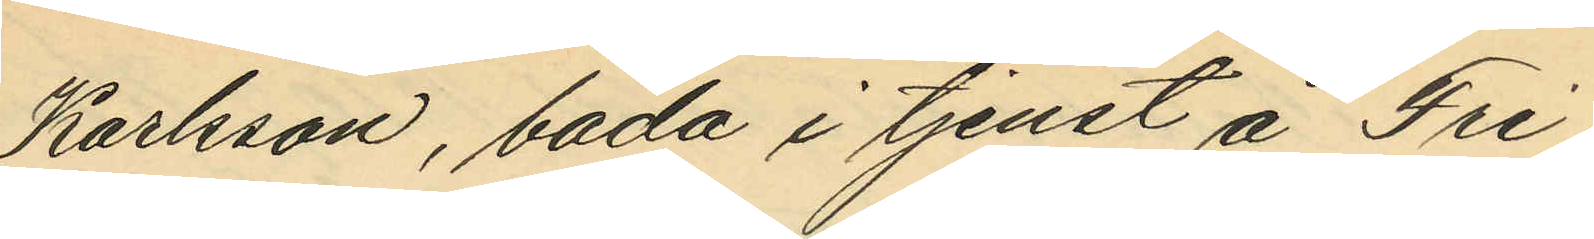Karlsson, båda i tjenst å Fri¬
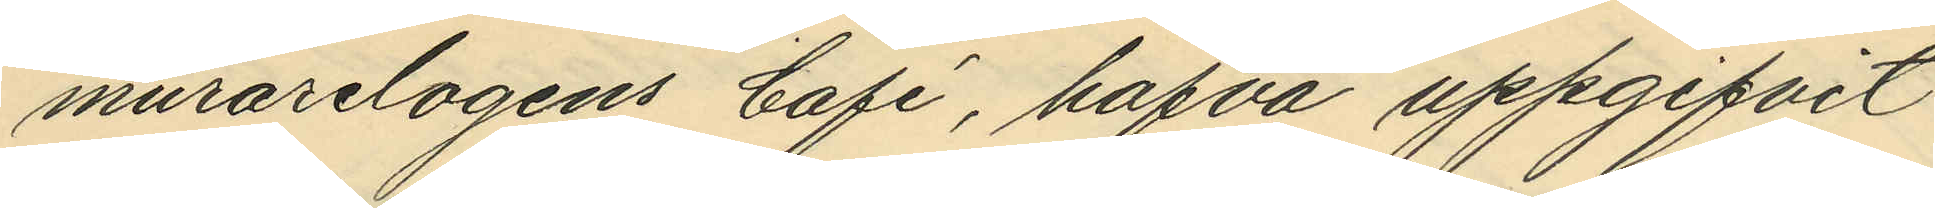murarelogens Café, hafva uppgifvit
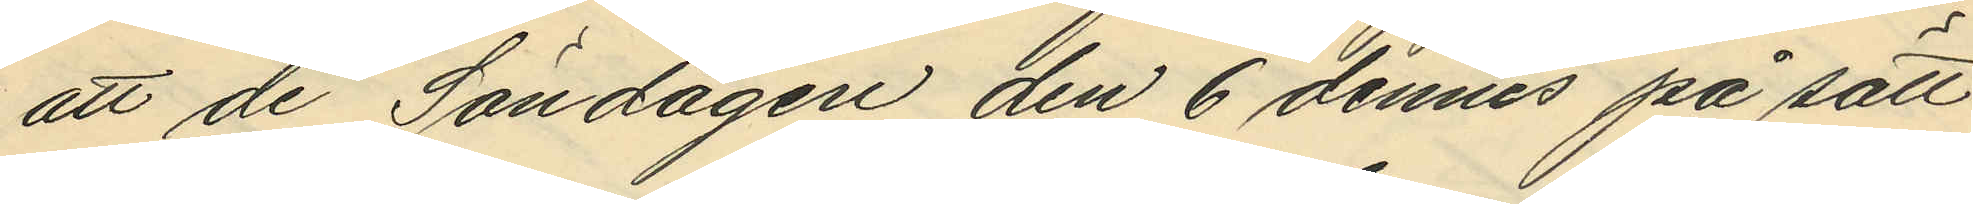att de Söndagen den 6 dennes på sätt
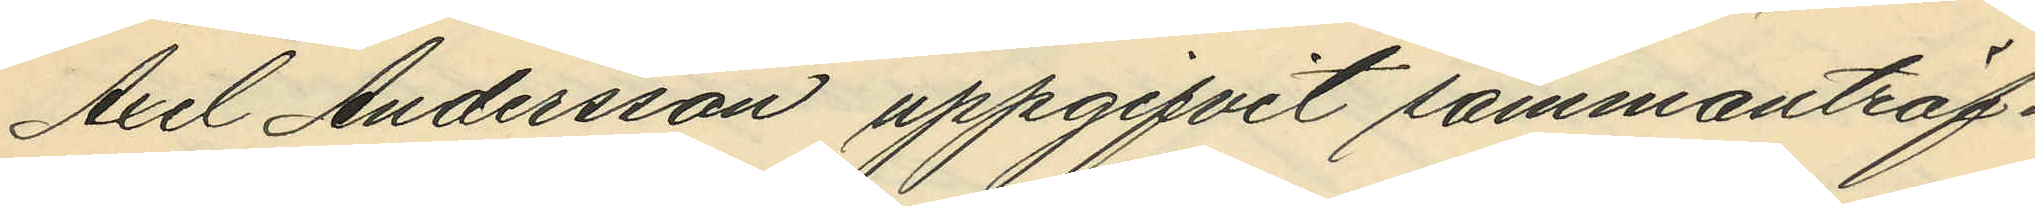Axel Andersson uppgifvit sammanträf¬
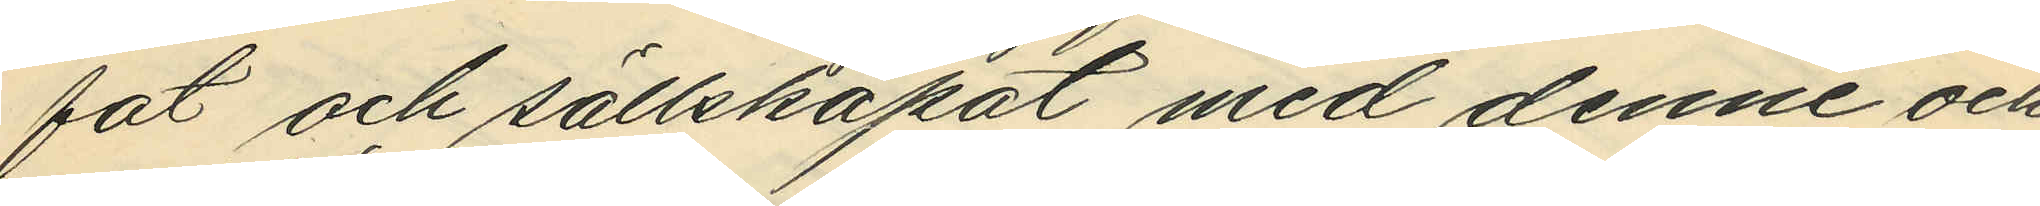fat och sällskapat med denne och
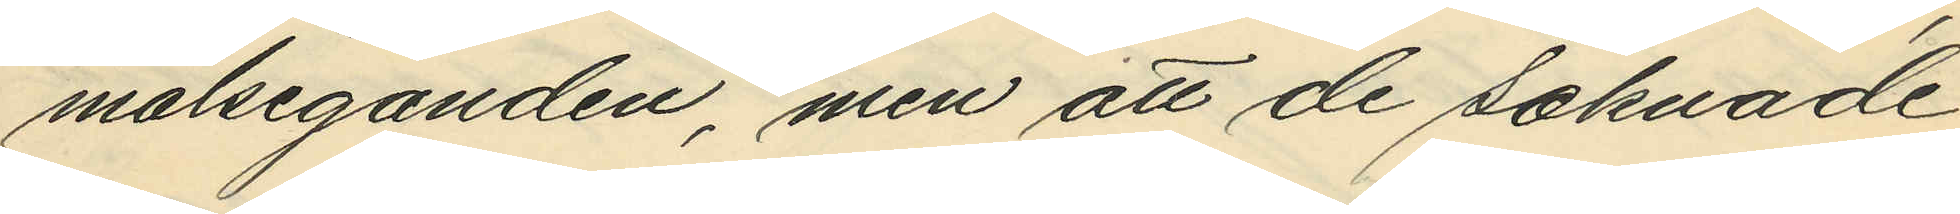målseganden, men att de saknade
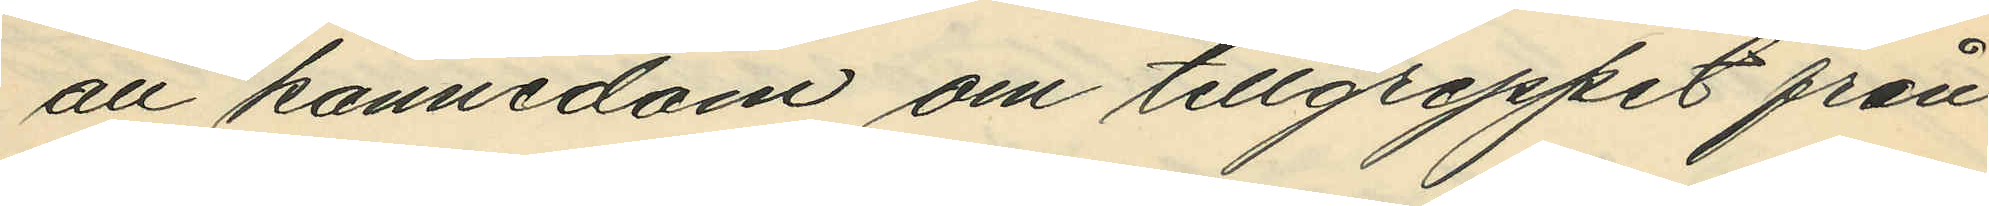all kännedom om tillgreppet från
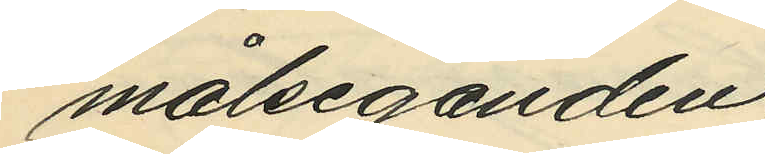målseganden.
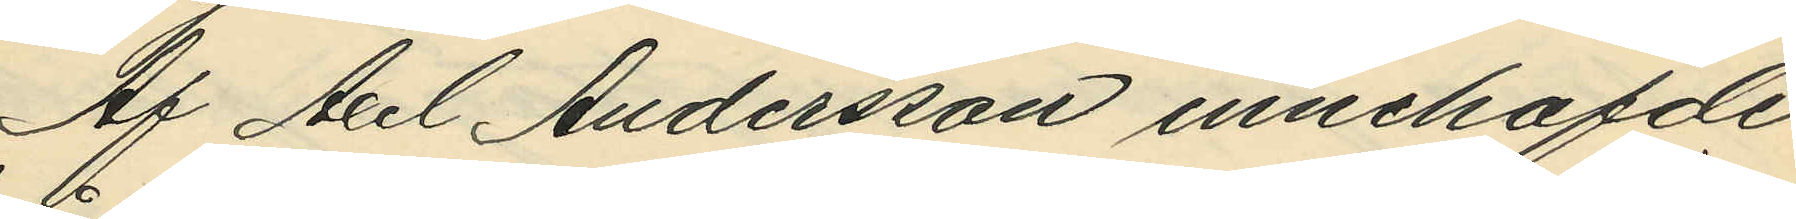Af Axel Andersson innehafde
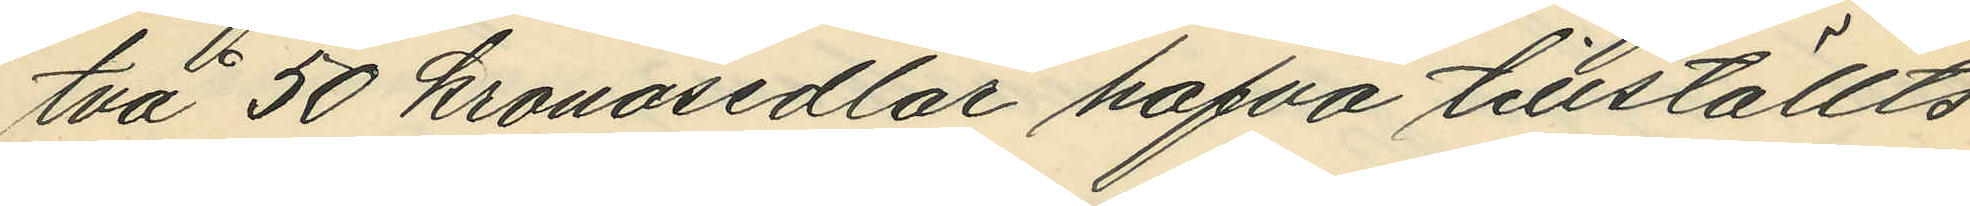två 50 kronosedlar hafva tillställts
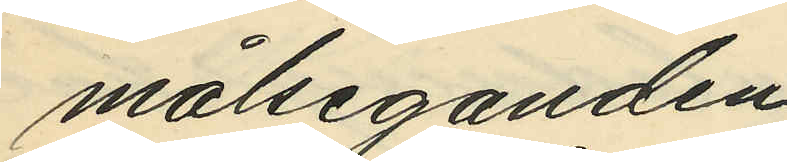målseganden.
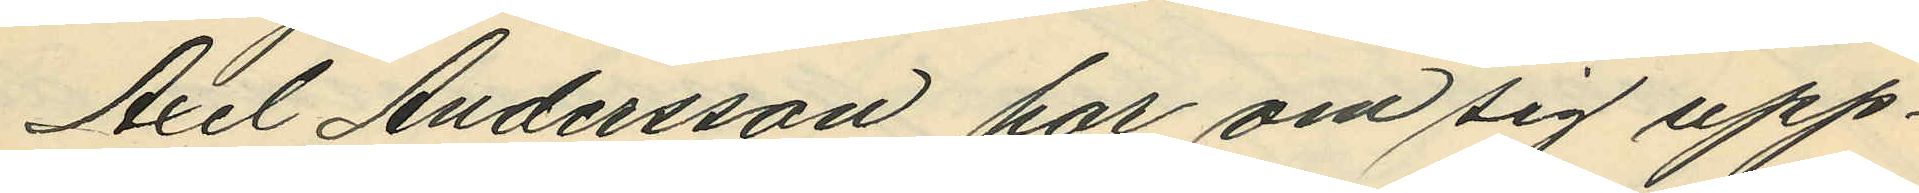Axel Andersson har om sig upp¬
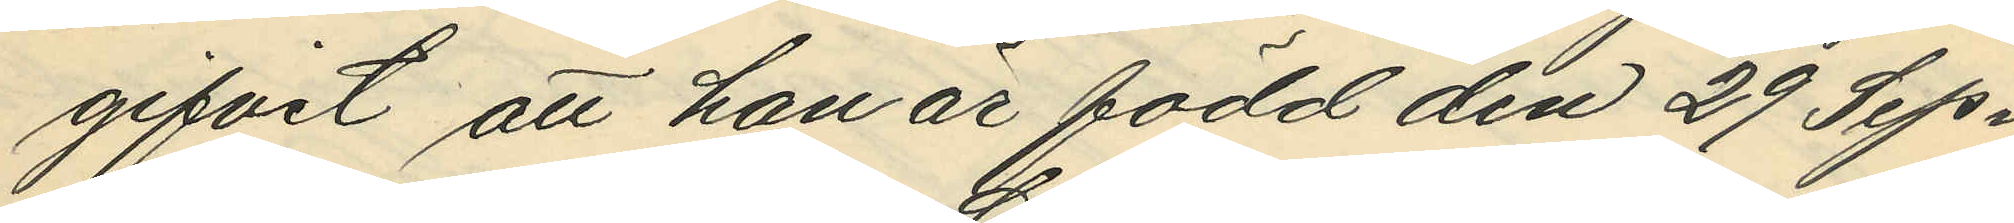gifvit att han är född den 29 Sep¬
